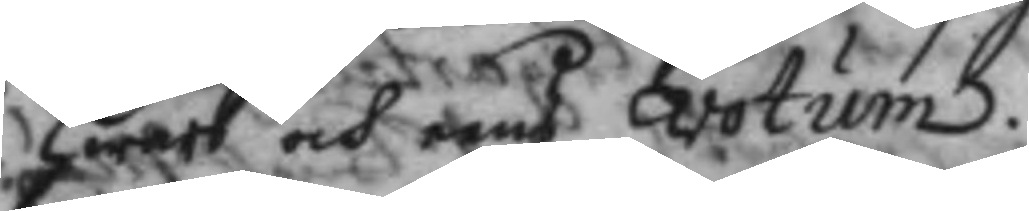hwars och eens votum.
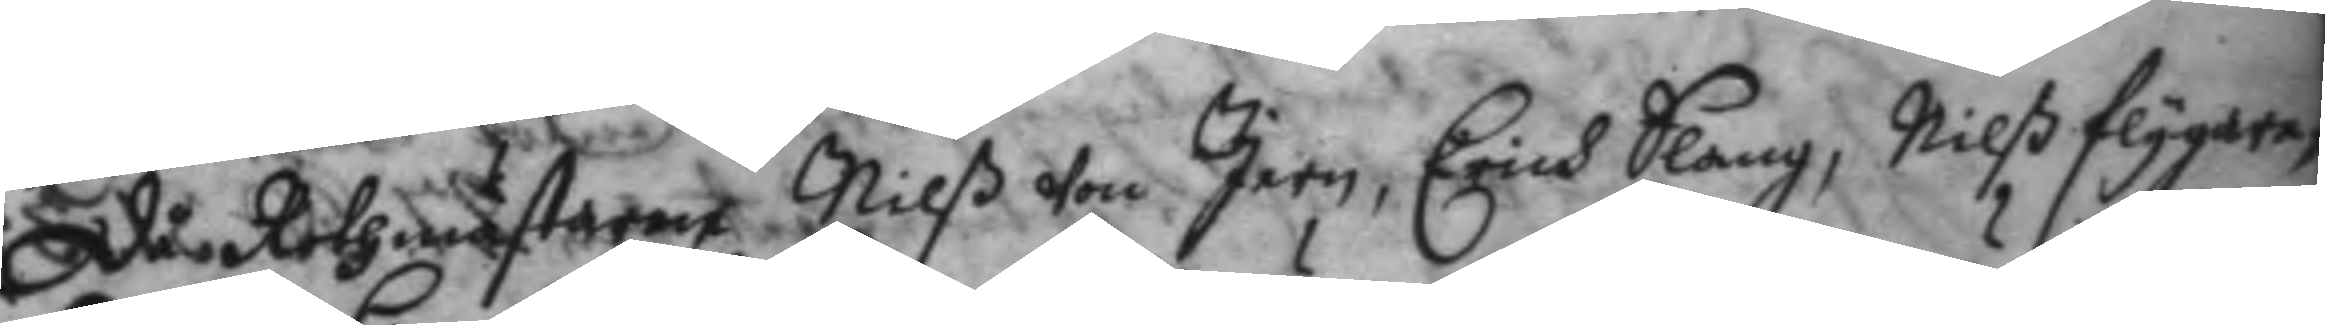då Rothmästaren Nilß von Jern, Erich Slang, Nilß flygare,
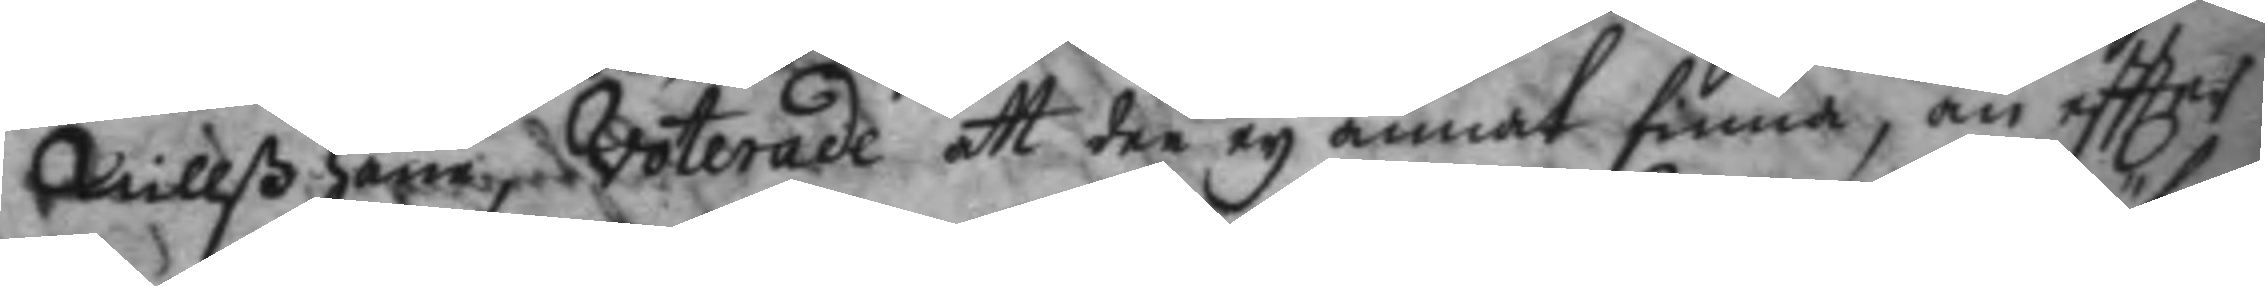Nillß Ham voterade att dee ey annat finna, än eftter
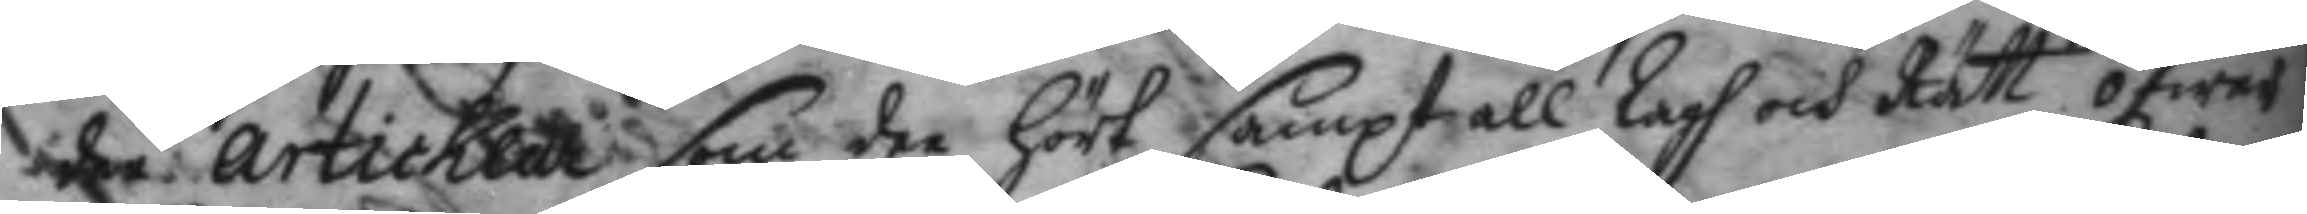de articklar som de hört smapt all Lagh och Rätt öfwer
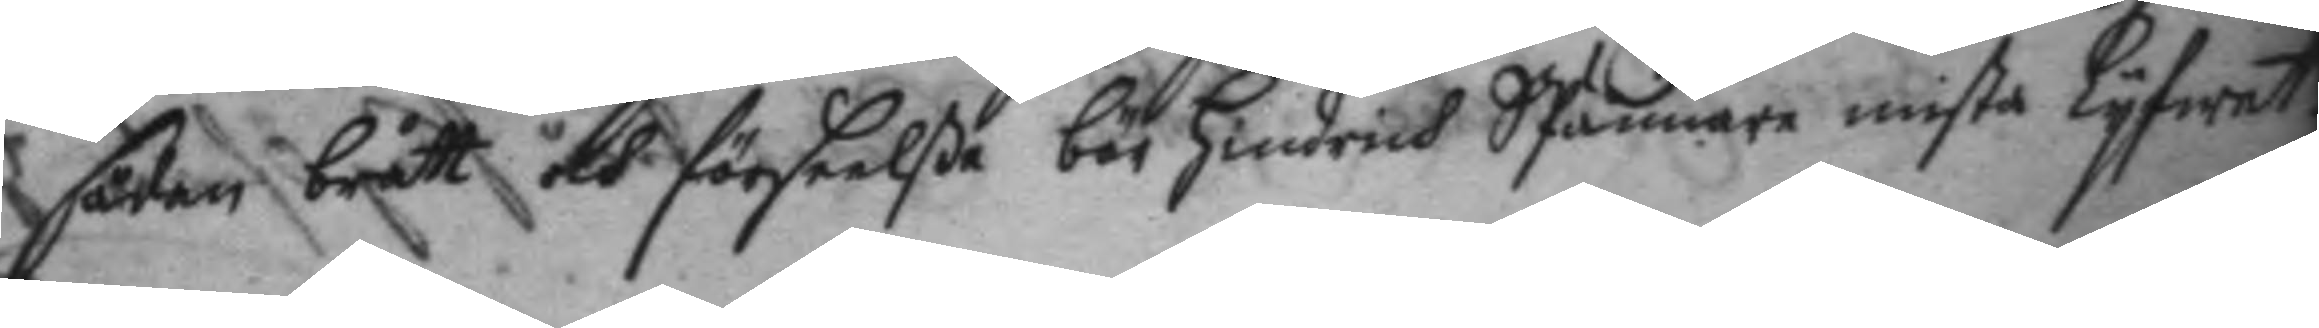sådan brått och förseelße bör Hindrich SPännare mista Lyfwet.
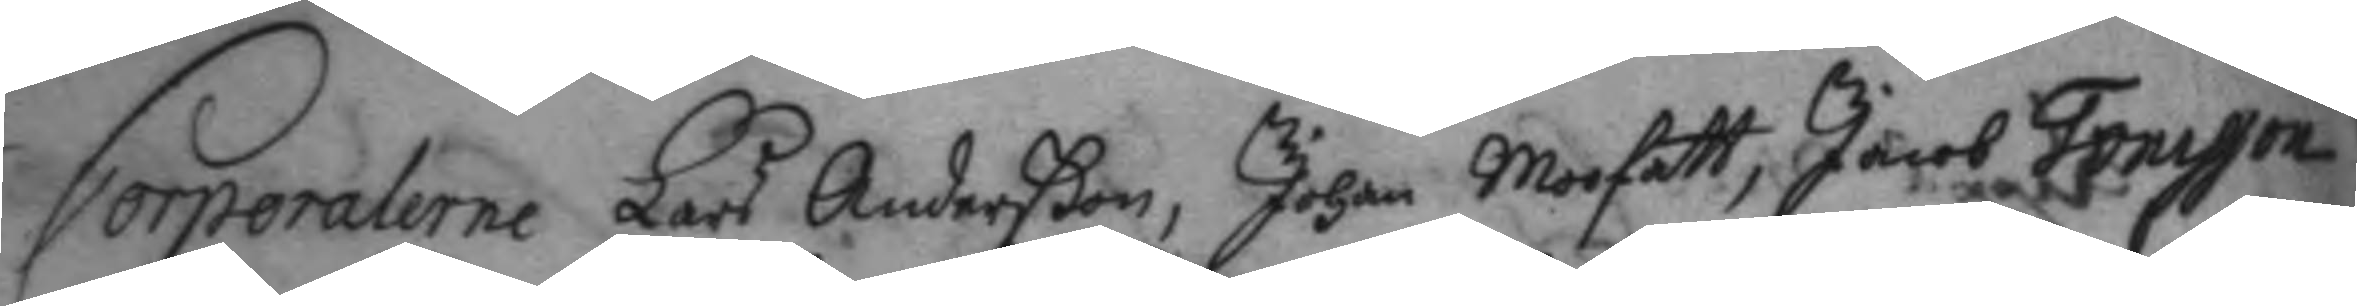Corporalerne Lars Anderßon, Johan Moofatt, Jacob Tonesson
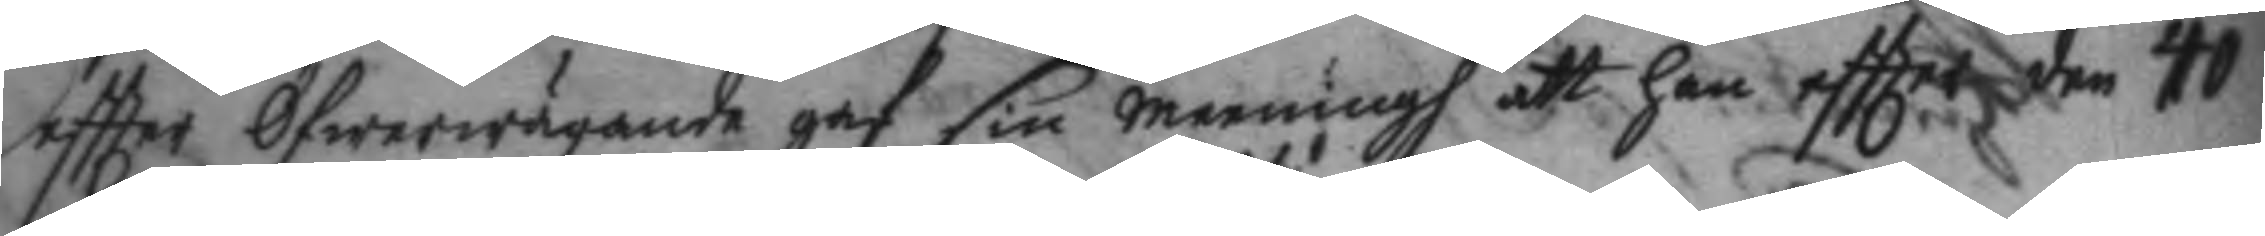eftter Öfwerwägande gaf sin meningh att han eftter den 40
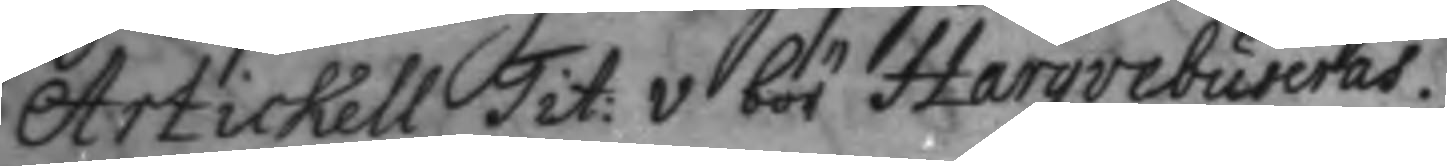Artickell Tit: v bör Harqvebuseras.
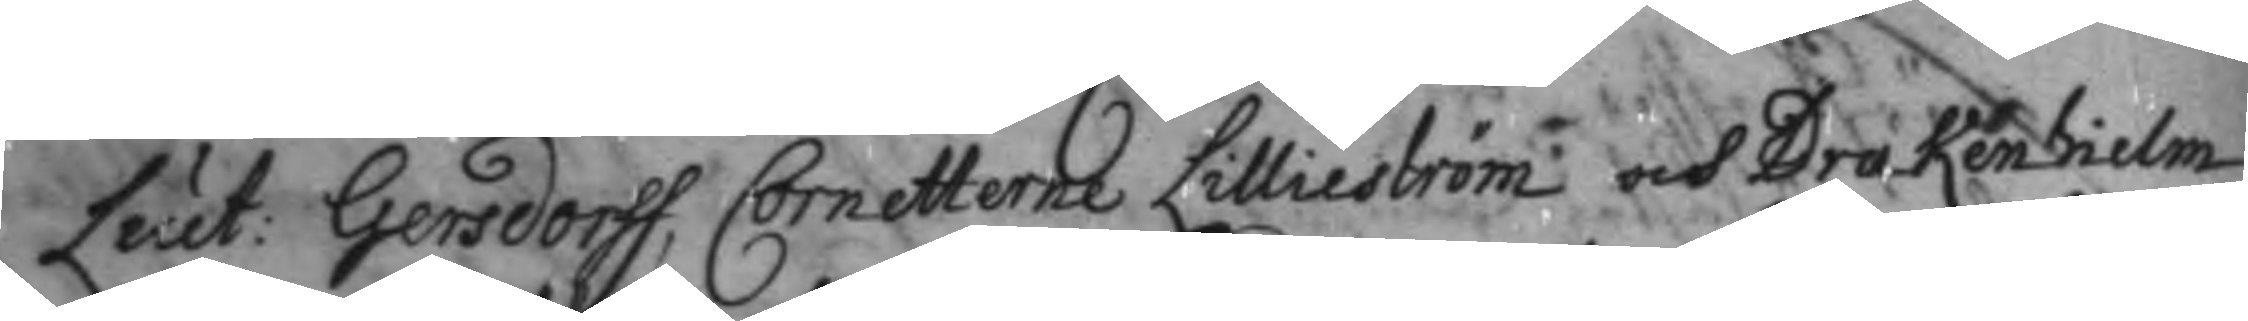Leut: Gersdorff, Cornetterne Lillieström och Drakenhielm
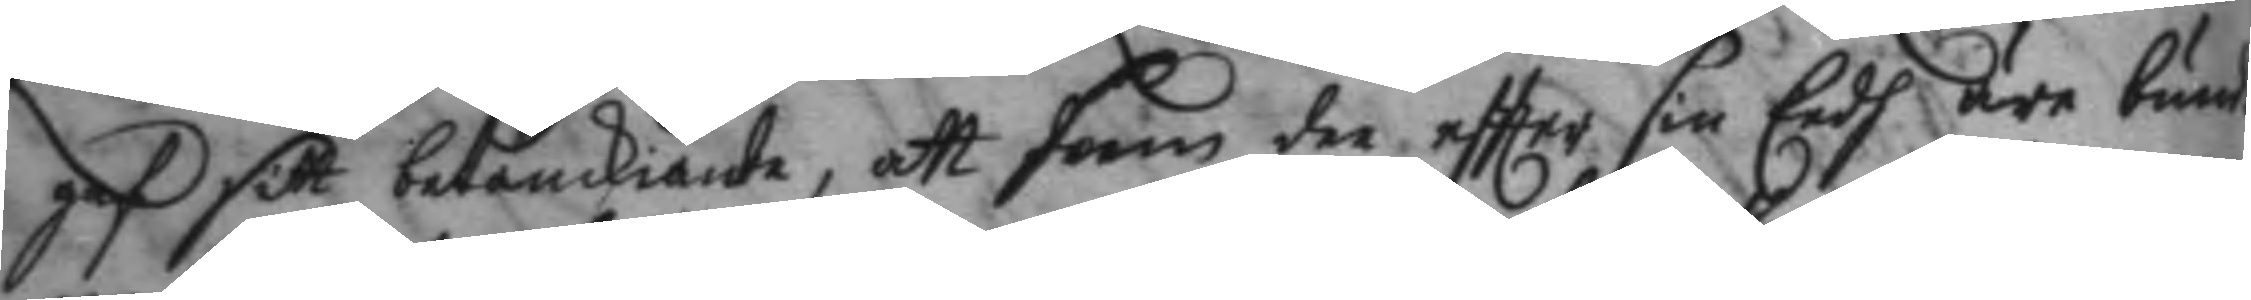gaf sitt betänkiande, att som dee eftter sin Eedh äre bund¬
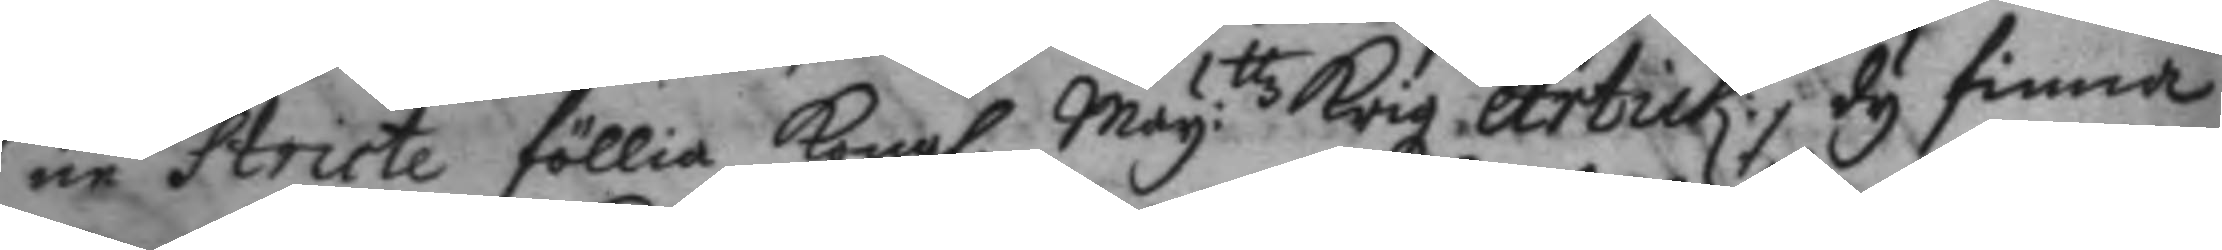ne stricte föllia Kongl. May:ttz Krigz Artick:, dy finner
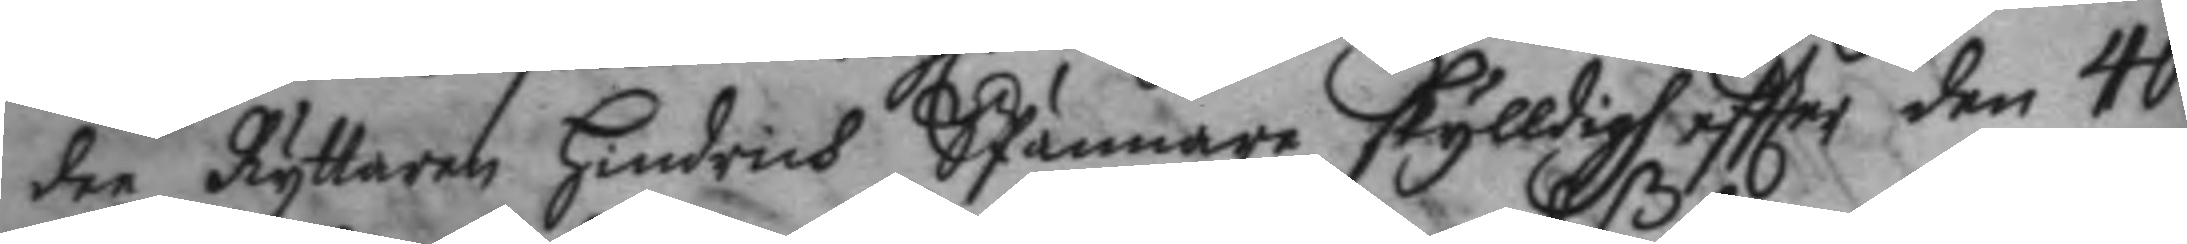dee Ryttaren Hindrich SPännare skylldigh eftter den 40
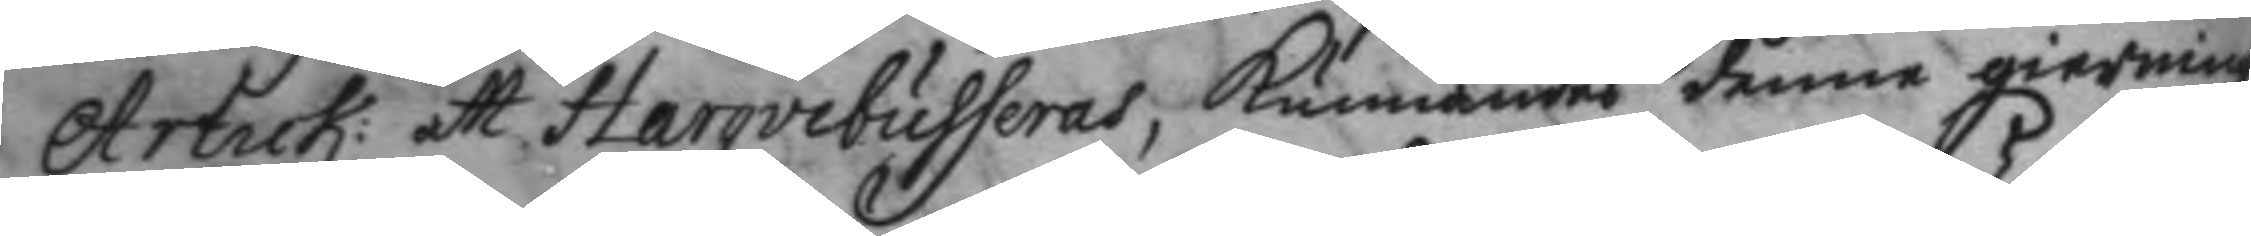Artick: att Harqvebuseras, Kunnandeß denne gierning
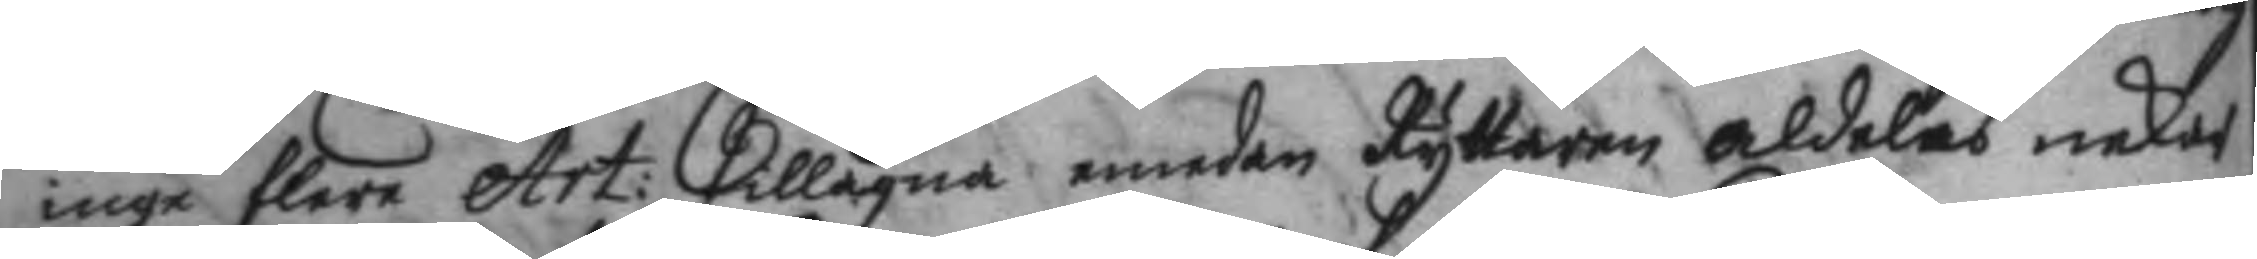inga flere Art: Tillägna emedan Ryttaren aldeles nekar
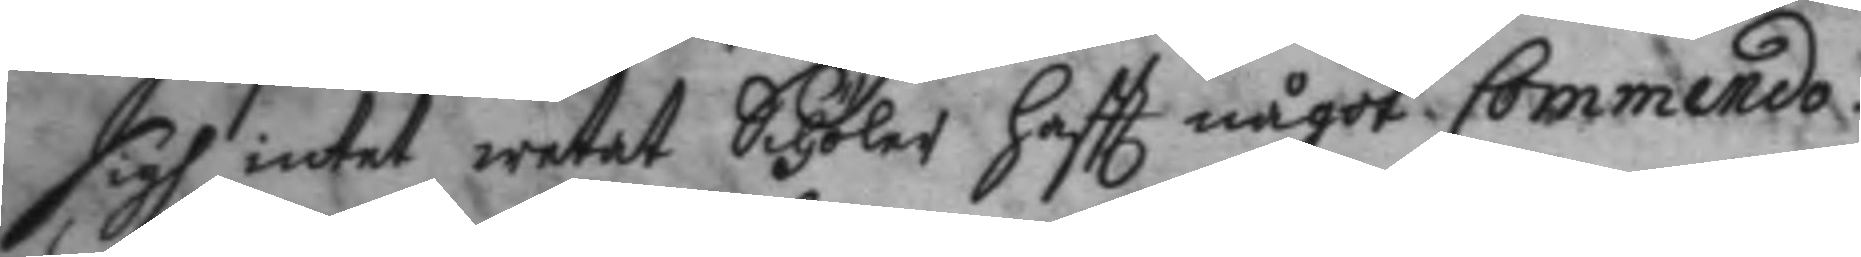sigh intet wetat Schöler haftt något Commendo.
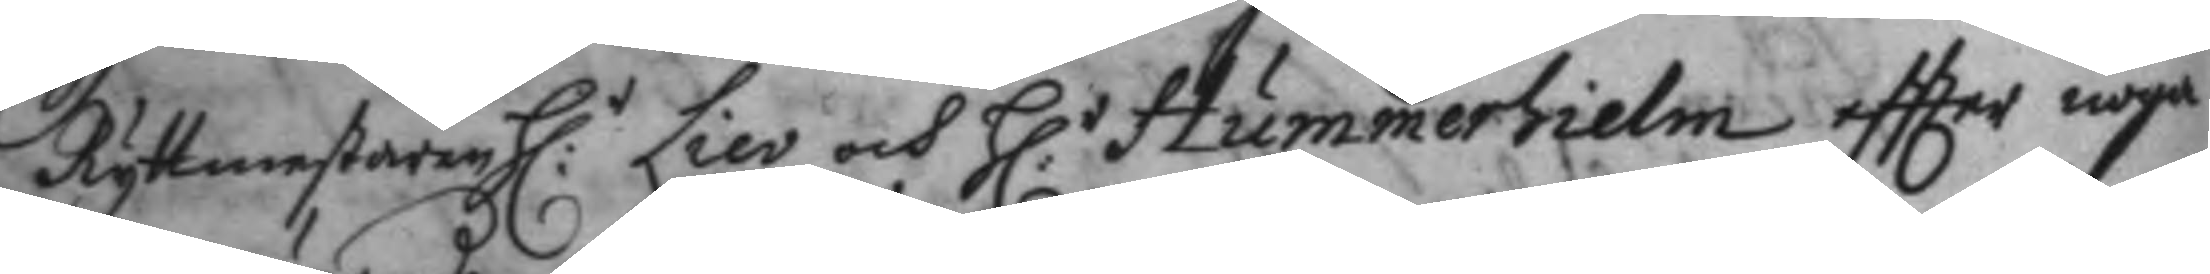Ryttmestaren H:r Liev och H:r Hummerhielm eftter noga
